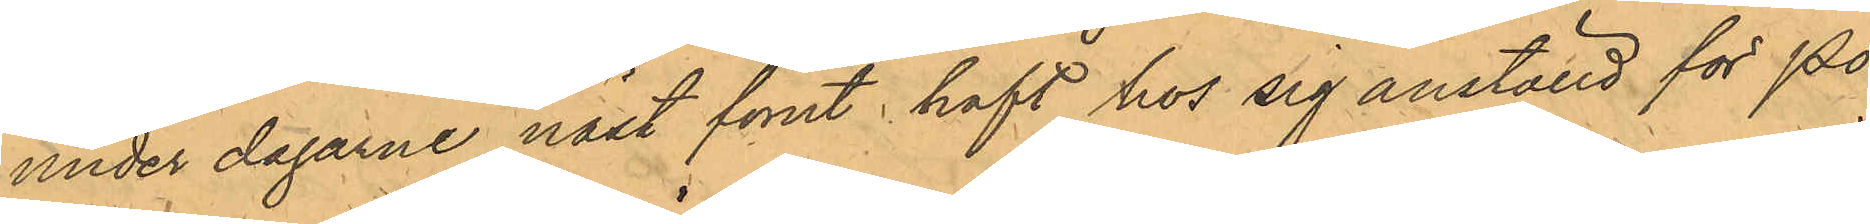under dagarne näst förut haft hos sig anställd för Po¬
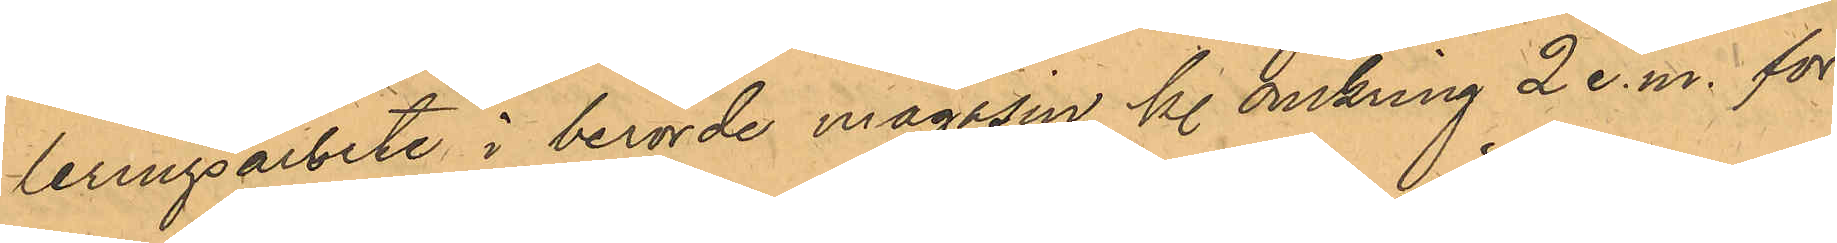leringsarbete i berörde magasin kl. omkring 2 e.m. för
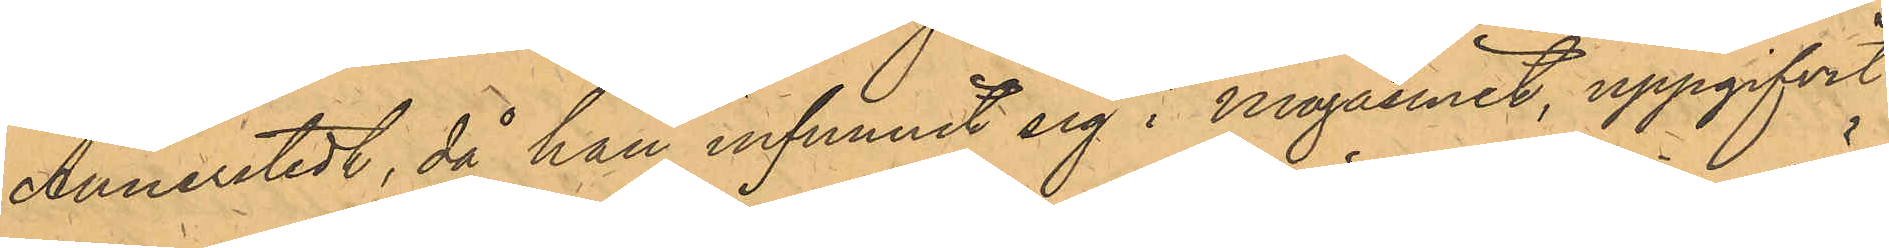Annerstedt, då han infunnit sig i Magasinet, uppgifvit
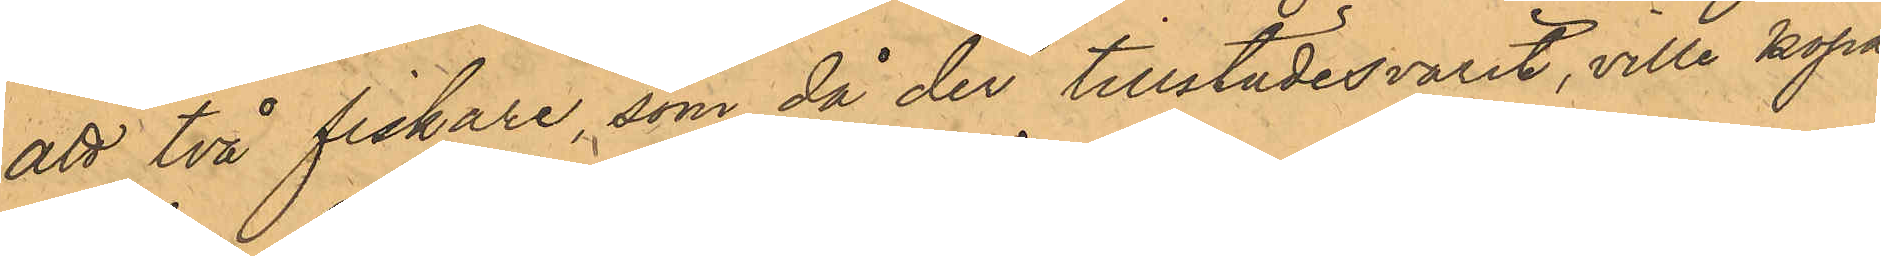att två fiskare, som då der tillstädesvarit, ville köpa
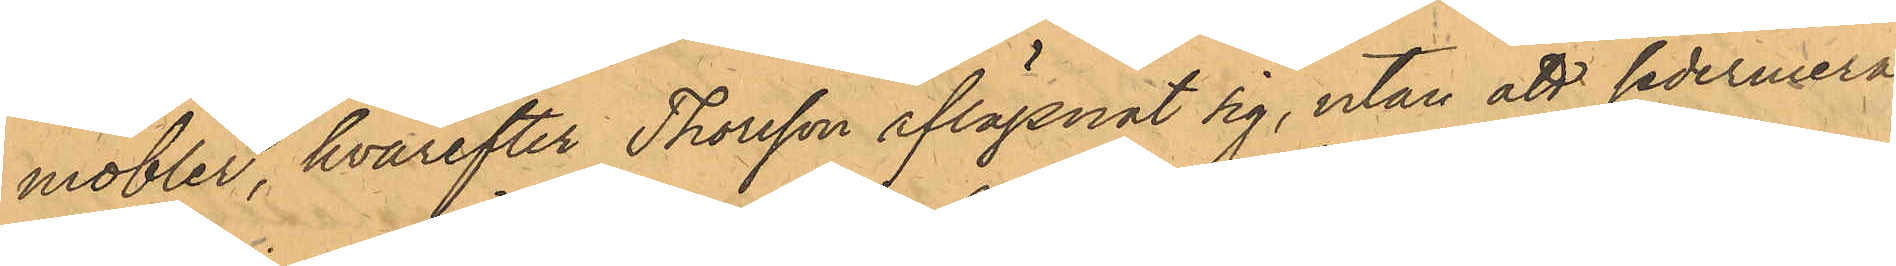möbler, hvarefter Thorsson aflägsnat sig, utan att sedermera
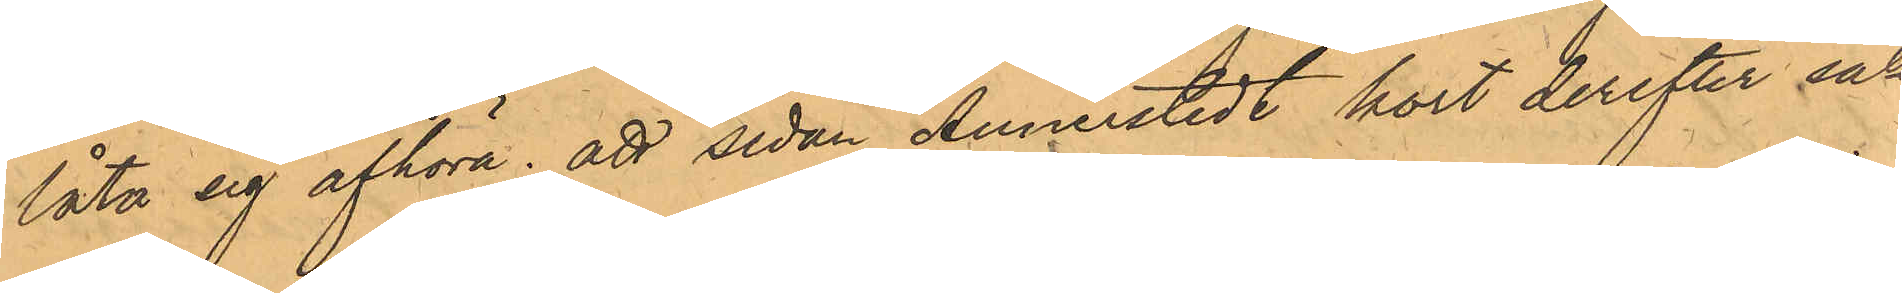låta sig afhöra; att sedan Annerstedt kort derefter sak¬
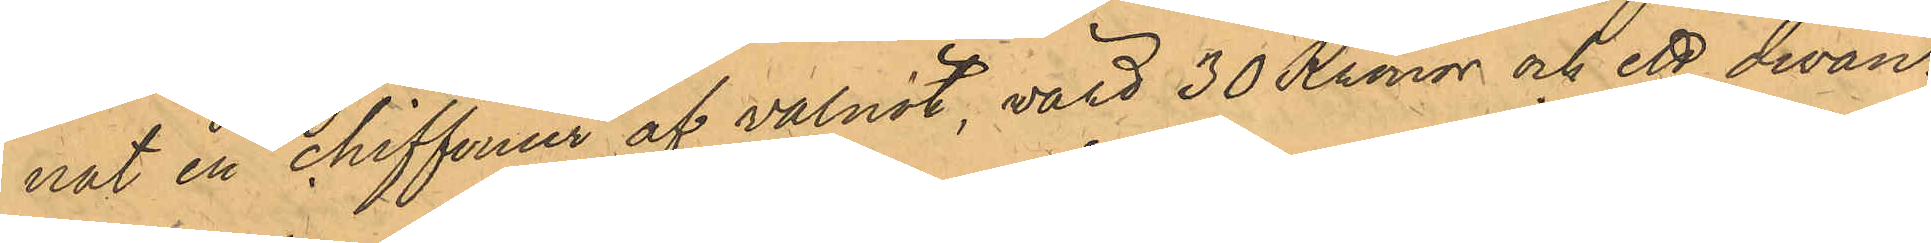nat en chiffonier af valnöt, värd 30 Kronor och ett divan¬
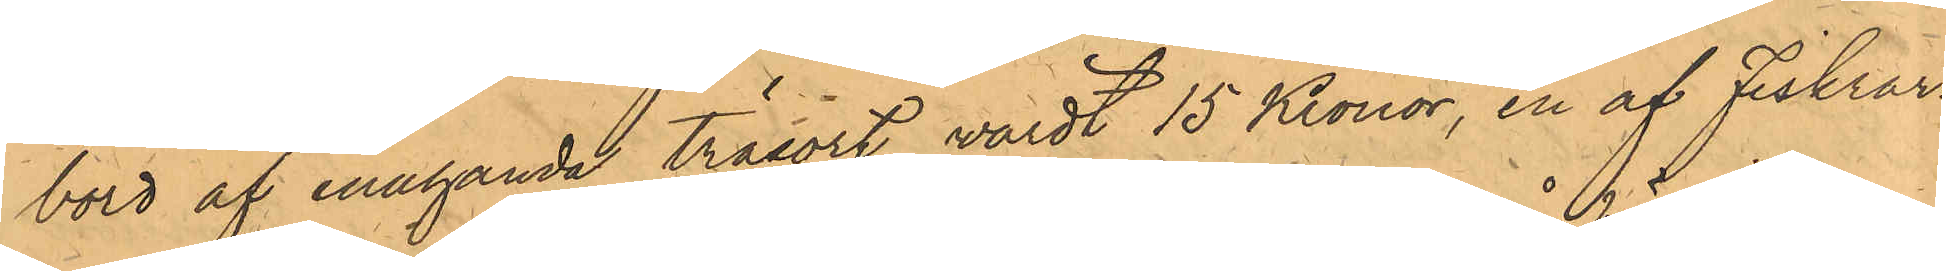bord af enahanda träsort, värdt 15 Kronor, en af Fiskrar¬
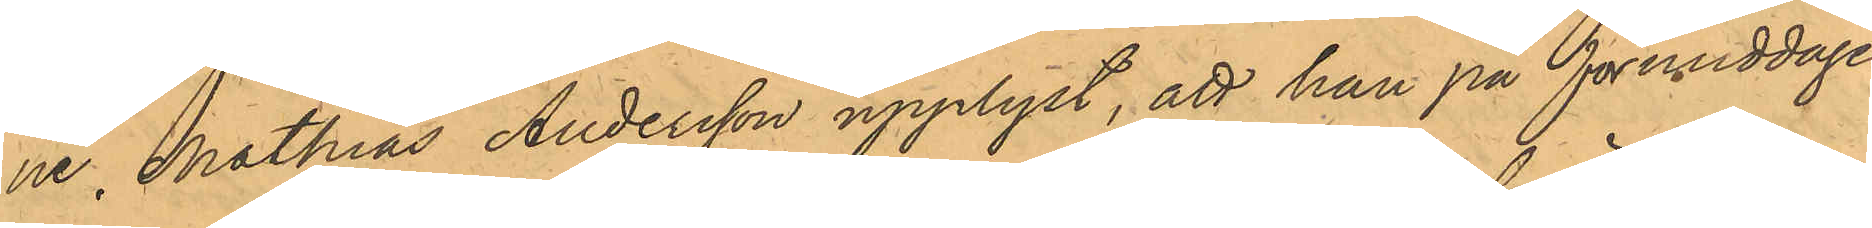ne, Mathias Andersson upplyst, att han på förmiddagen
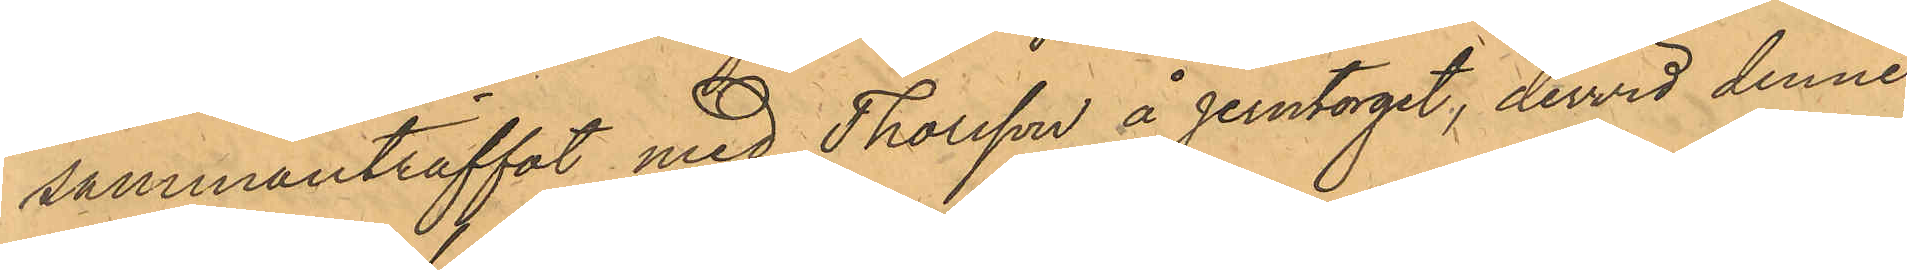sammanträffat med Thorsson å Jerntorget, dervid denne,
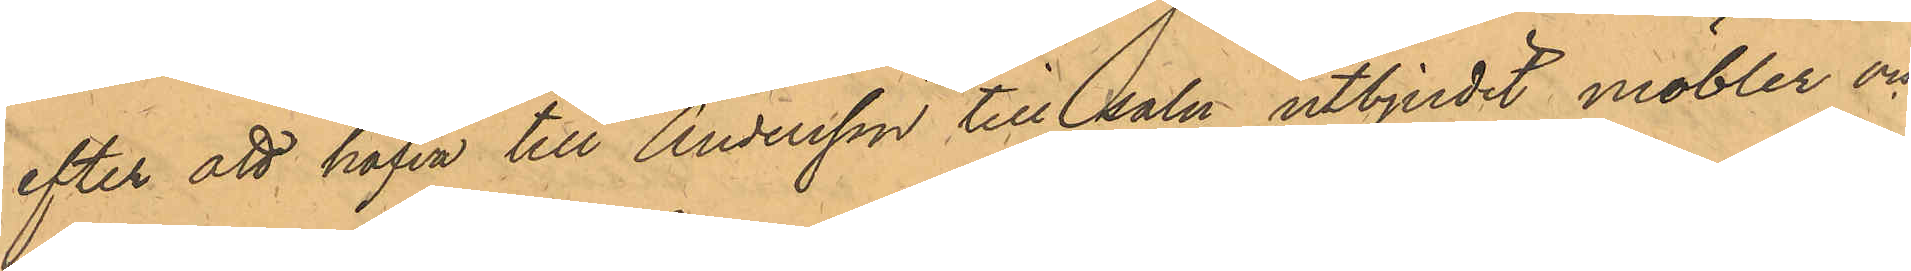efter att hafva till Andersson till salu utbjudit möbler och
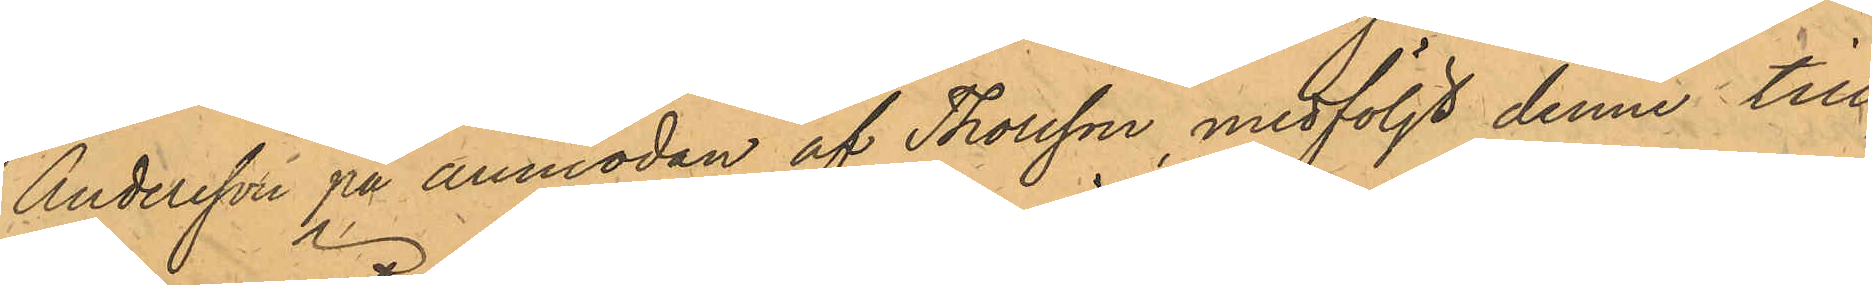Andersson på anmodan af Thorsson, medföljt denne till¬
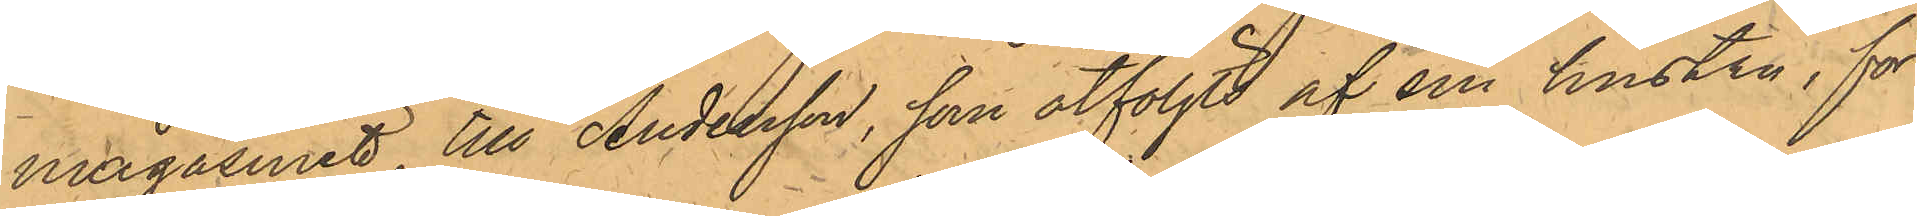magasinet, till Andersson, som åtföljts af sin hustru, för
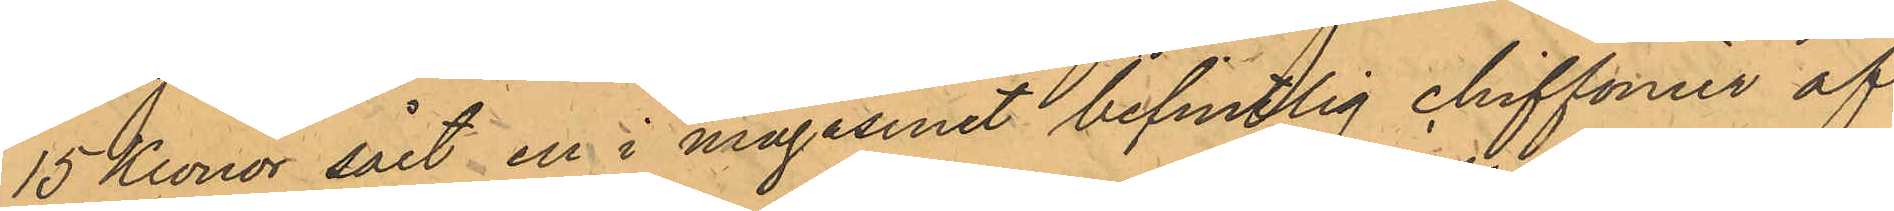15 Kronor sålt en i magasinet befintlig chiffonier af
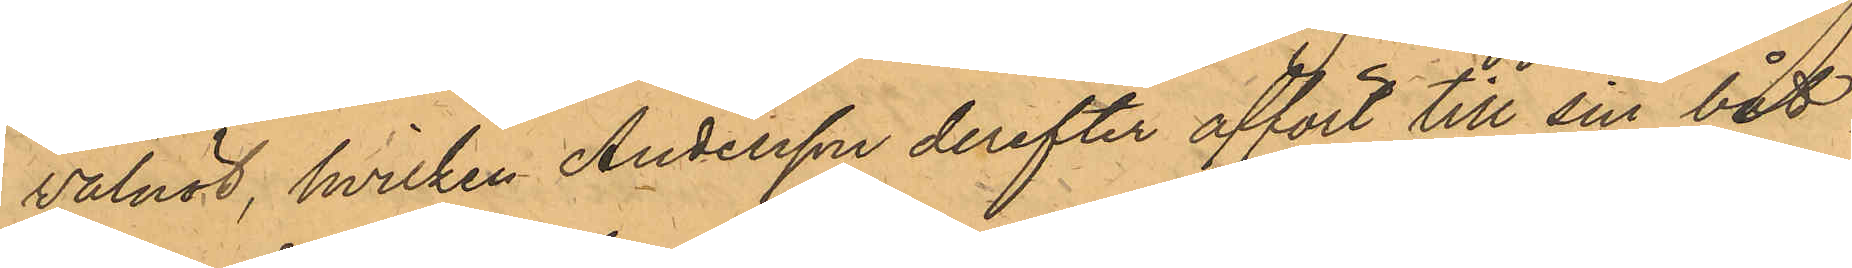valnöt, hvilken Andersson derefter affört till sin båt,
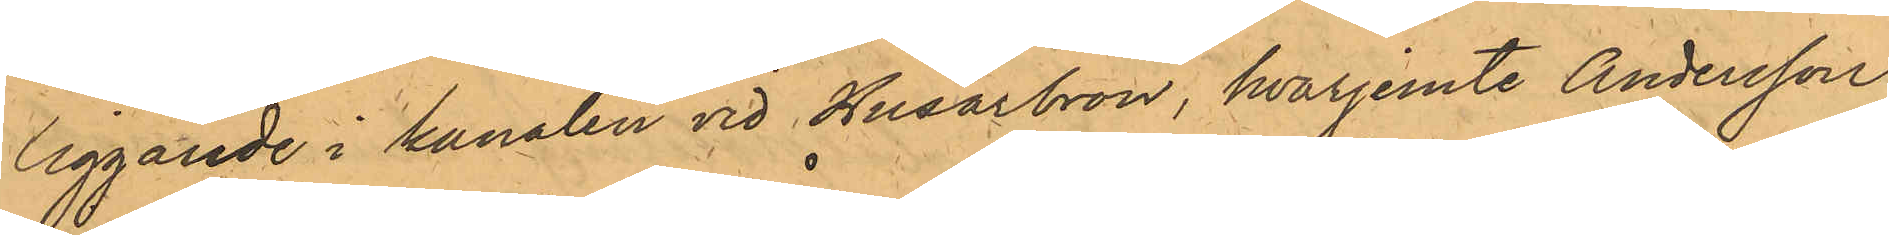liggande i kanalen vid Husarbron, hvarjemte Andersson
